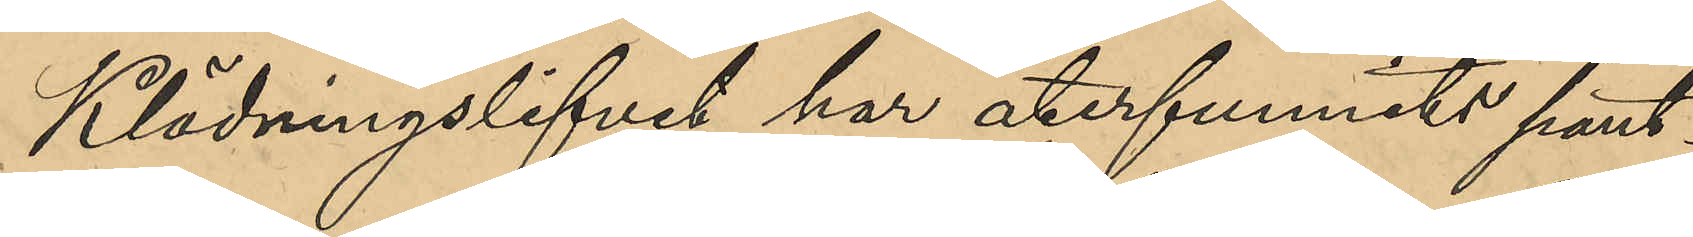Klädningslifvet har återfunnits pant¬
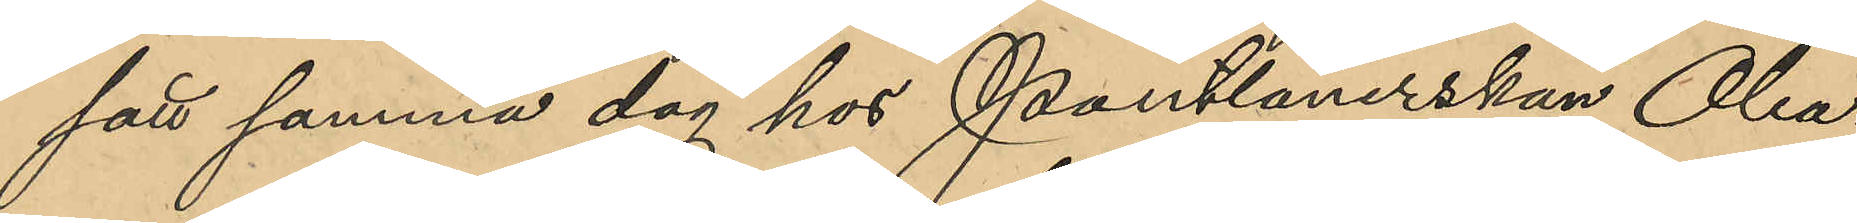satt samma dag hos Pantlånerskan Olea¬
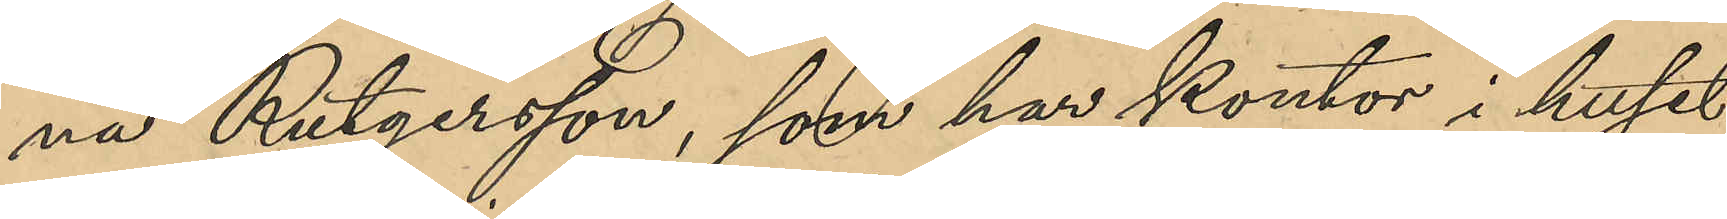na Rutgersson, som har kontor i huset
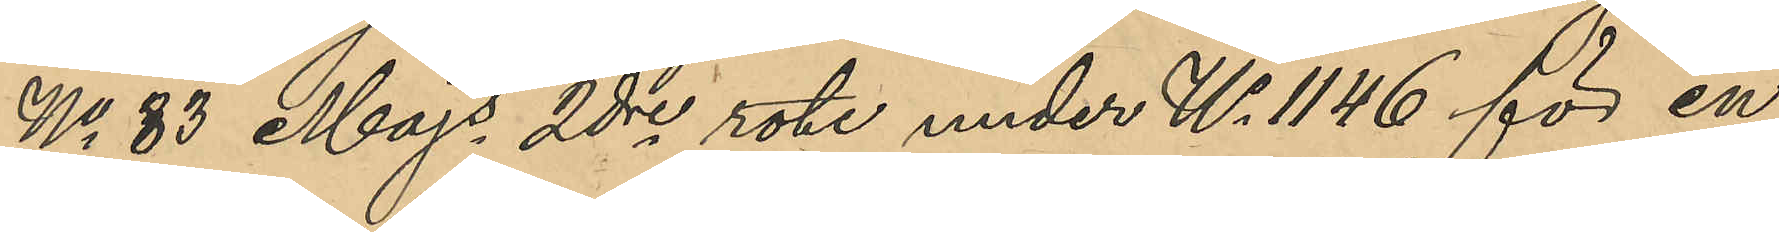No 83 Majs 2dre rote under No 1146 för en
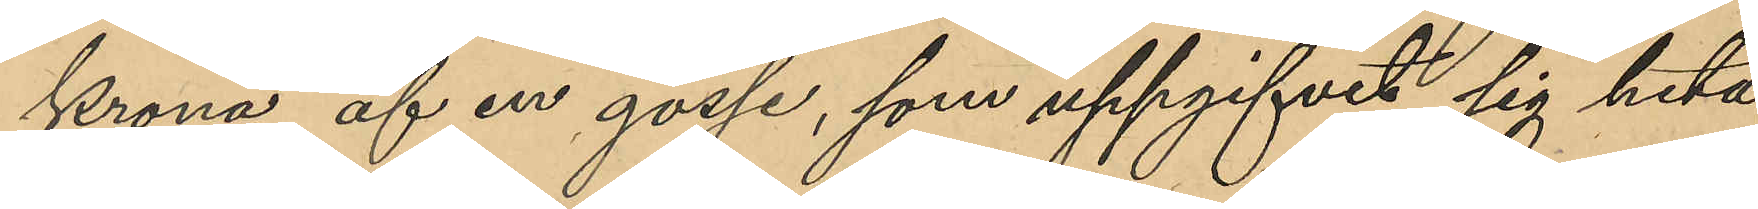krona af en gosse, som uppgifvit sig heta
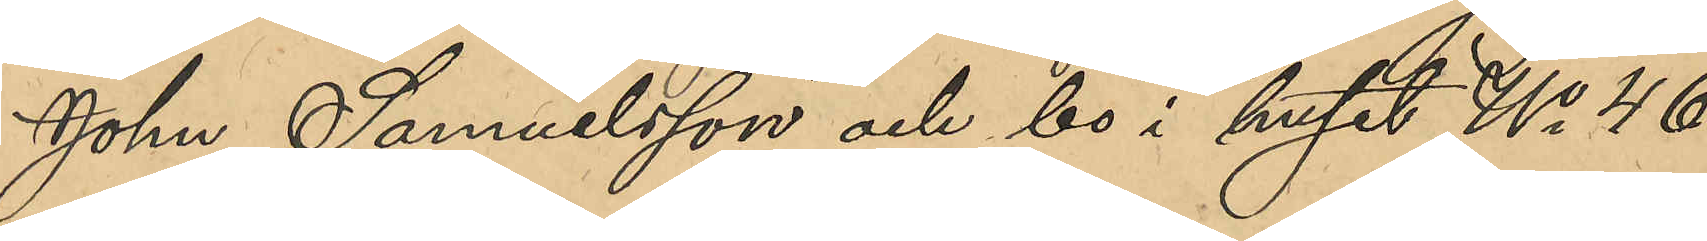Johan Samuelsson och bo i huset No 46
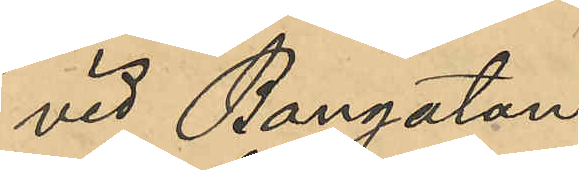vid Bangatan.
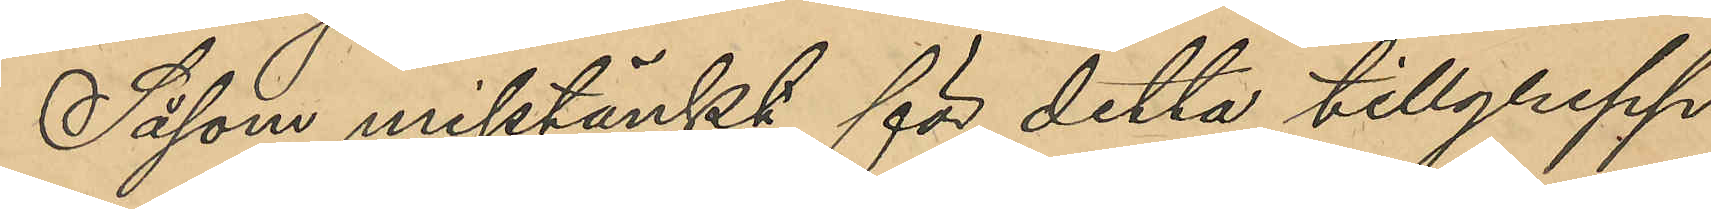Såsom misstänkt för detta tillgrepp
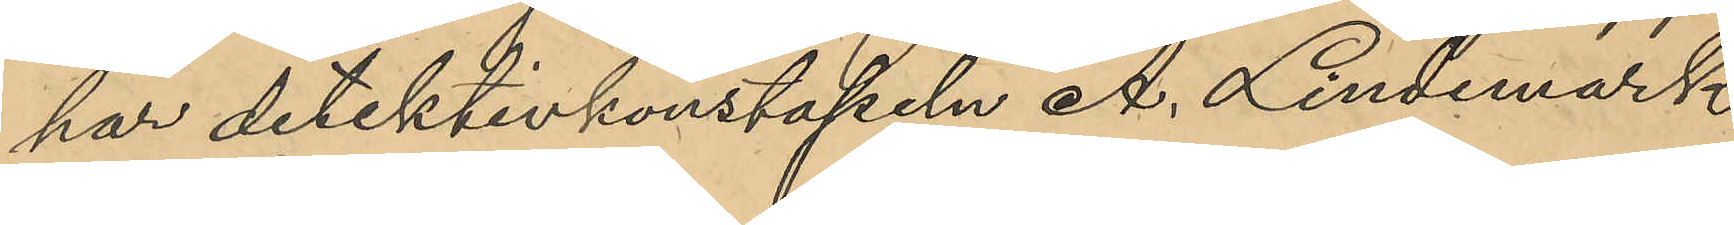har detektivkonstapeln A. Lindemark
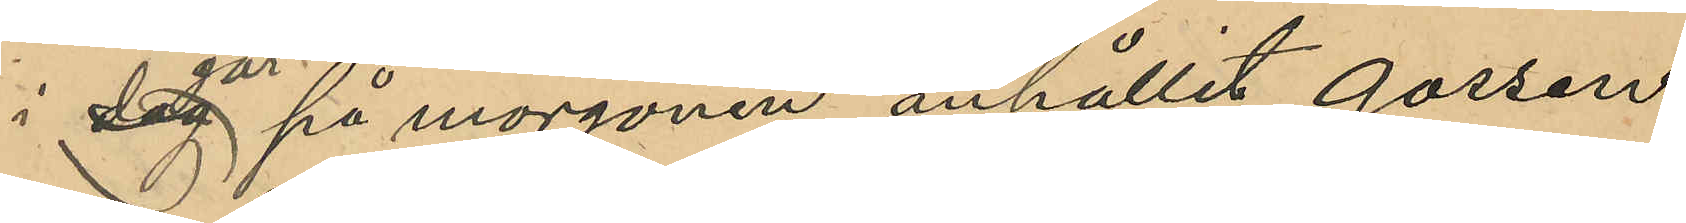i dag går på morgonen anhållit gossen
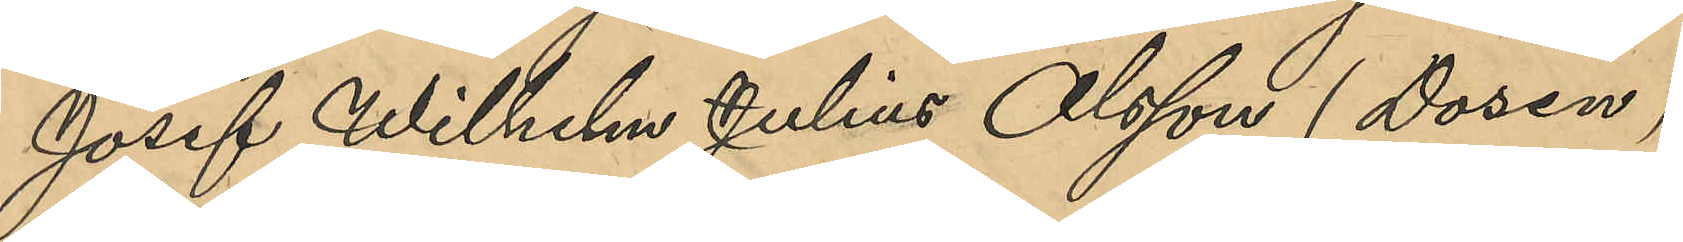Josef Wilhelm Julius Olsson (Dosen),
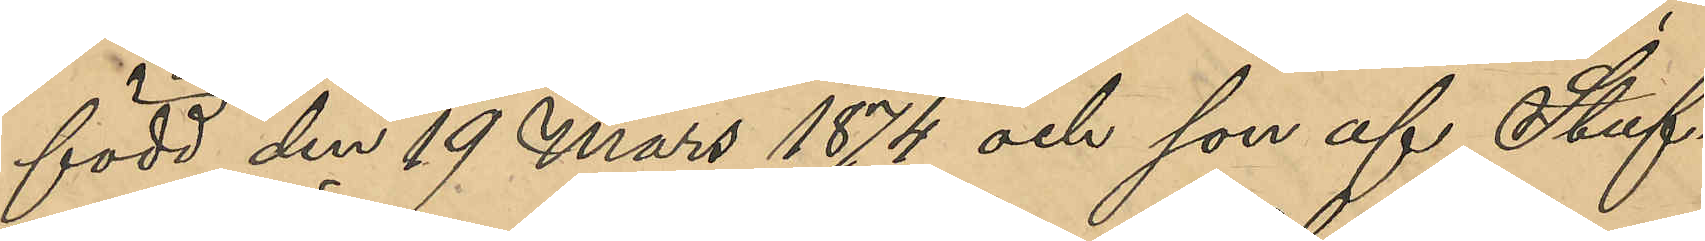född den 19 Mars 1874 och son af Stuf¬
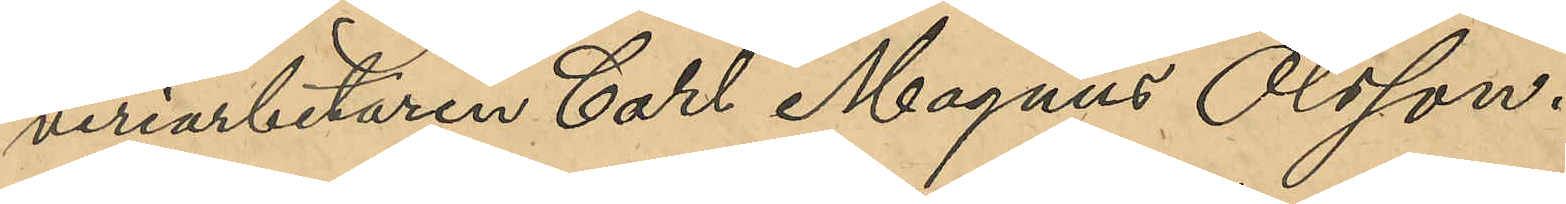veriarbetaren Carl Magnus Olsson.
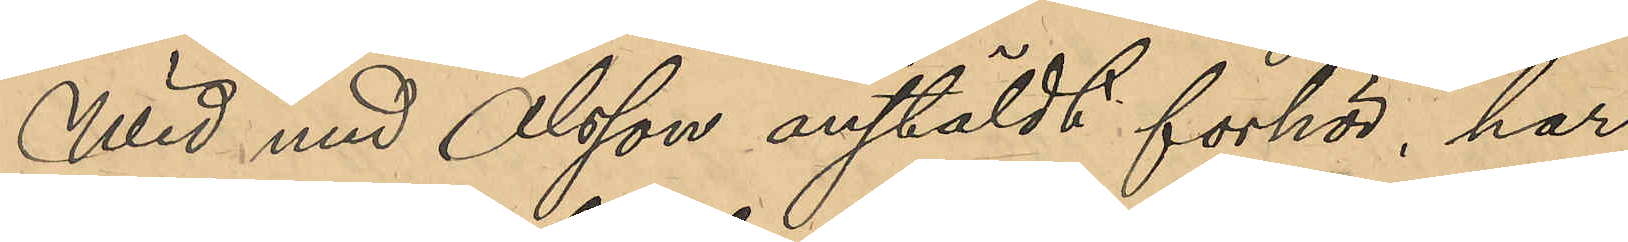Wid med Olsson anstäldt förhör, har 
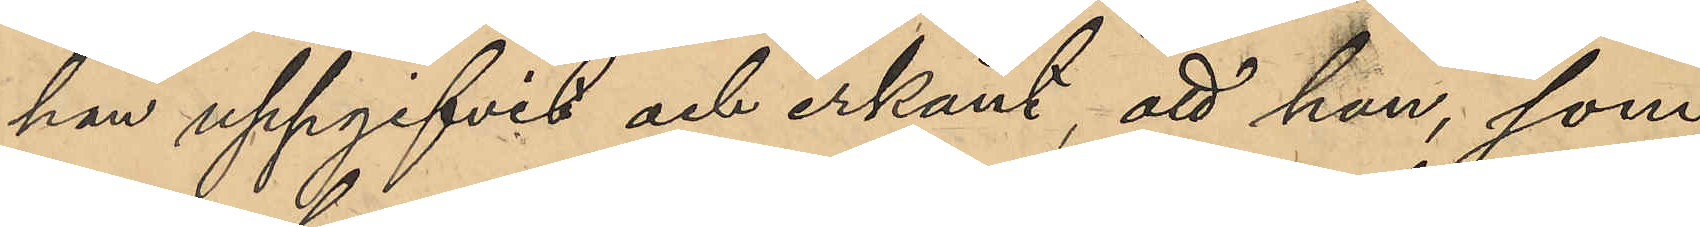han uppgifvit och erkänt, att han, som
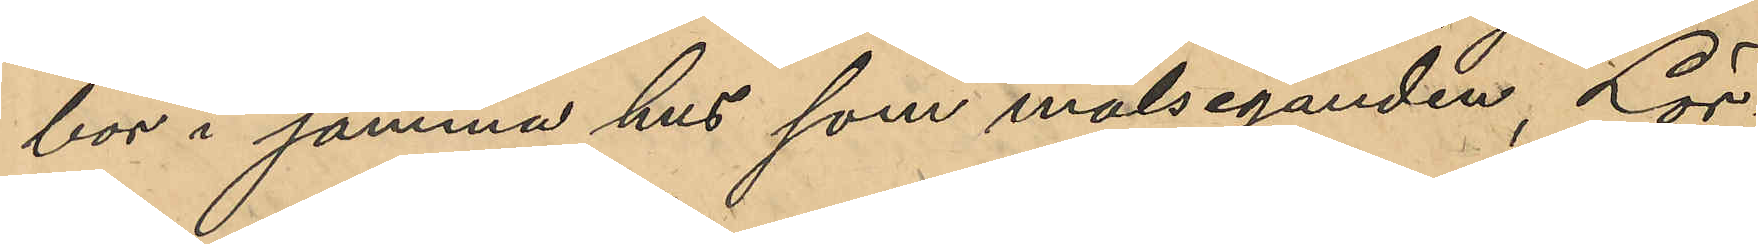bor i samma hus som målseganden, Lör¬
